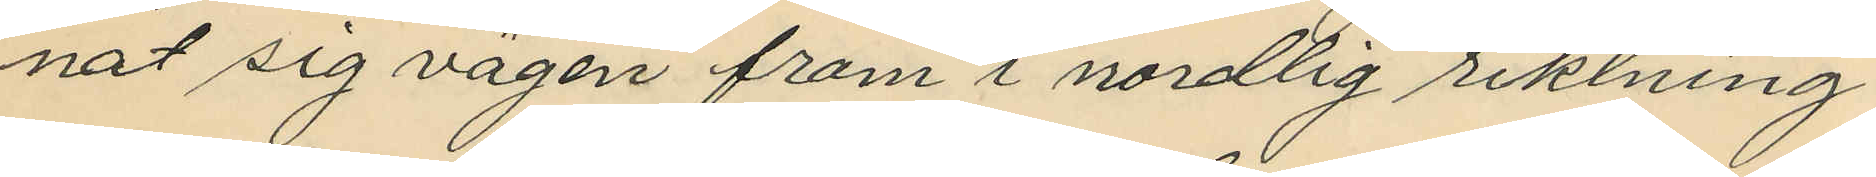nat sig vägen fram i nordlig riktning
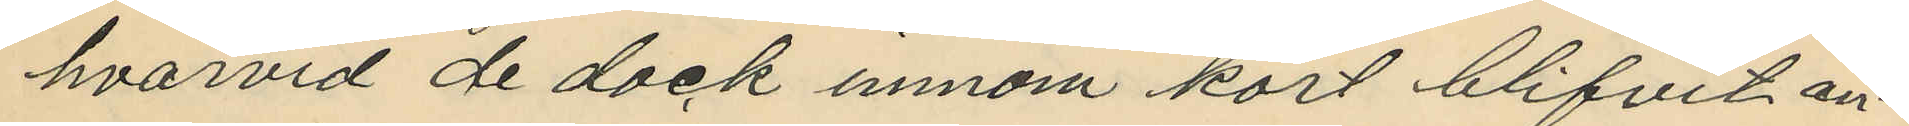hvarvid de dock innom kort blifvit an¬
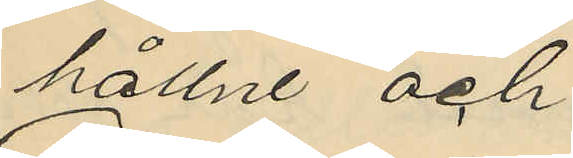hållne och
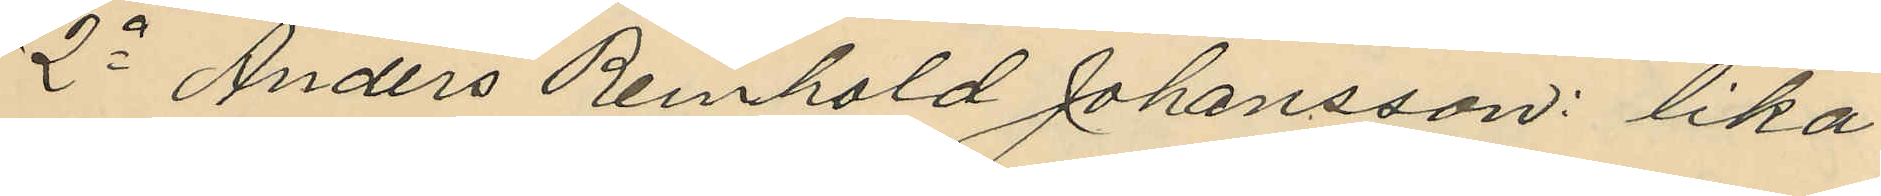2o Anders Reinhold Johansson: lika
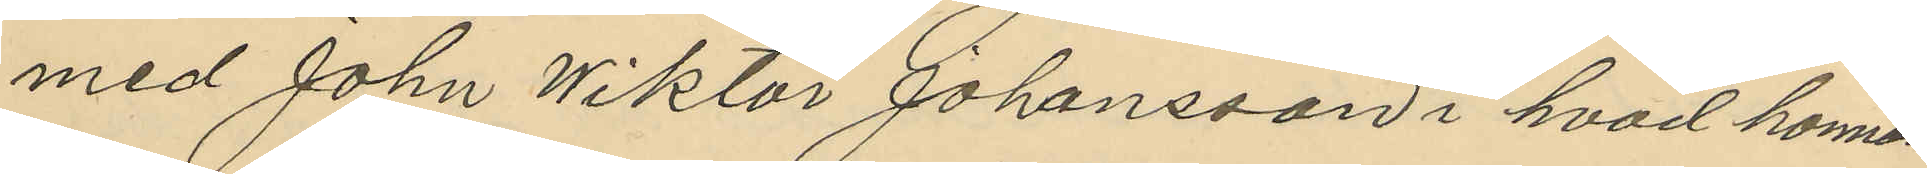med John Wiktor Johansson i hvad honom
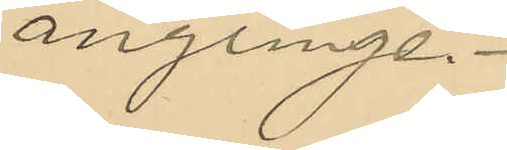anginge.
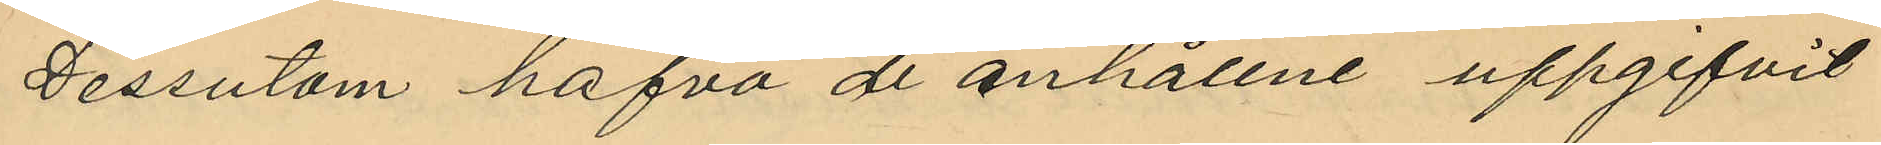Dessutom hafva de anhållne uppgifvit
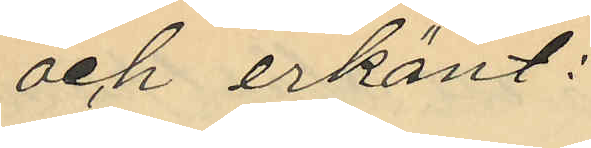och erkänt:
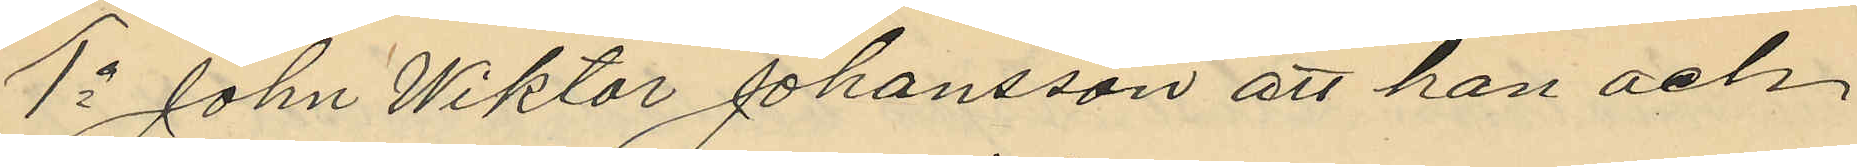1o John Wiktor Johansson att han och
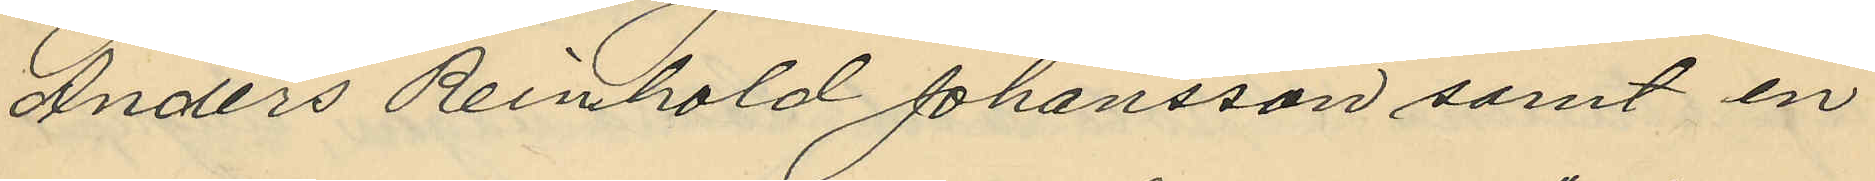Anders Reinhold Johansson samt en
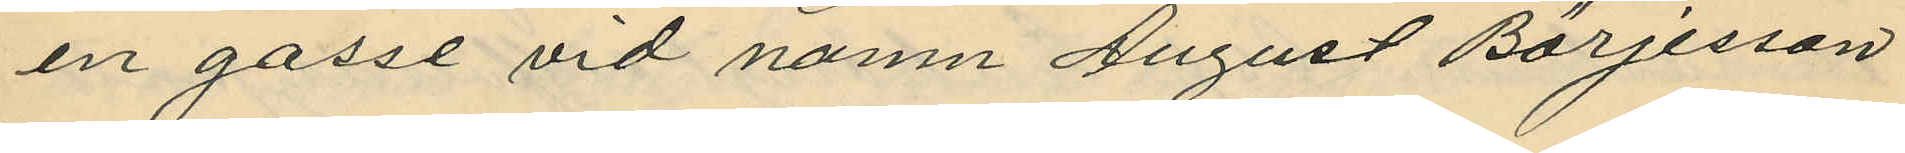en gosse vid namn August Börjesson
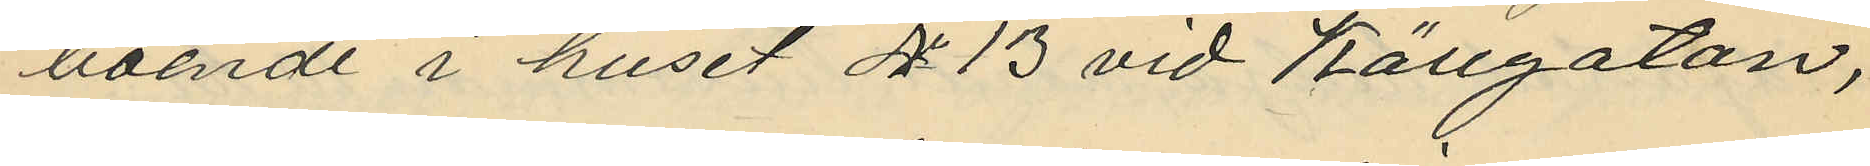boende i huset No 13 vid Källgatan,
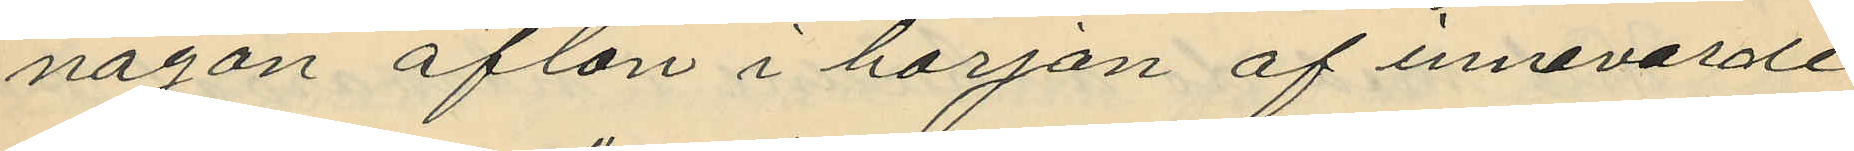någon afton i början af innevarde
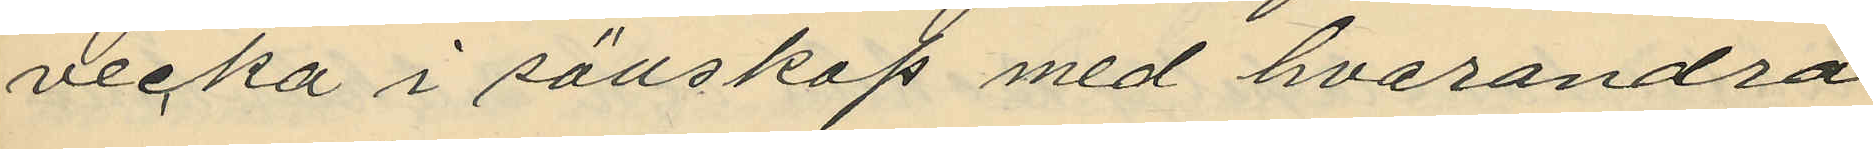vecka i sällskap med hvarandra
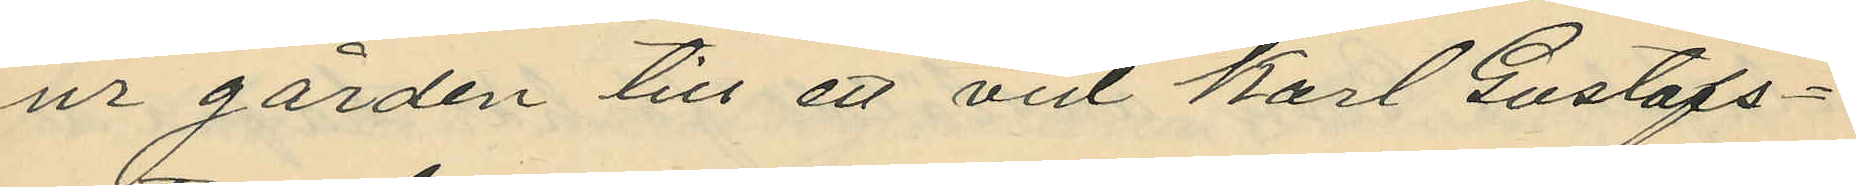ur gården till ett vid Karl Gustafs¬
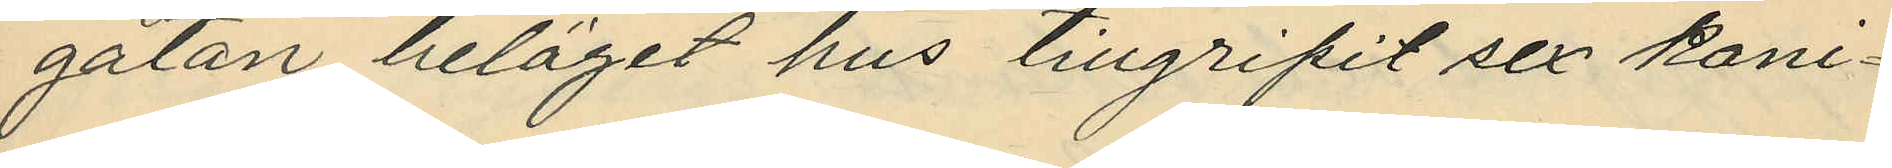gatan beläget hus tillgripit sex kani¬
